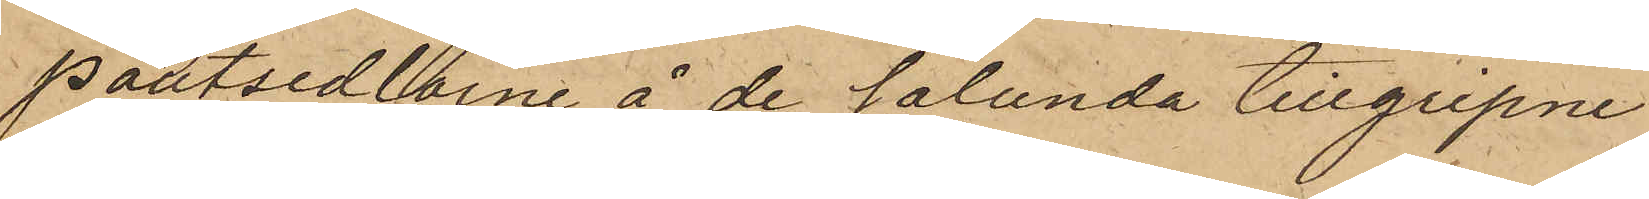Pantsedlarne å de sålunda tillgripne
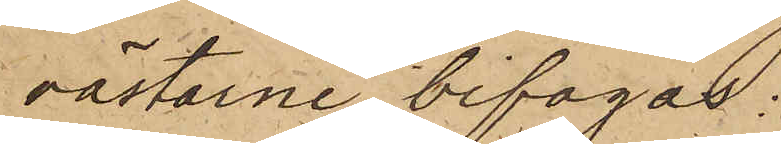västarne bifogas:
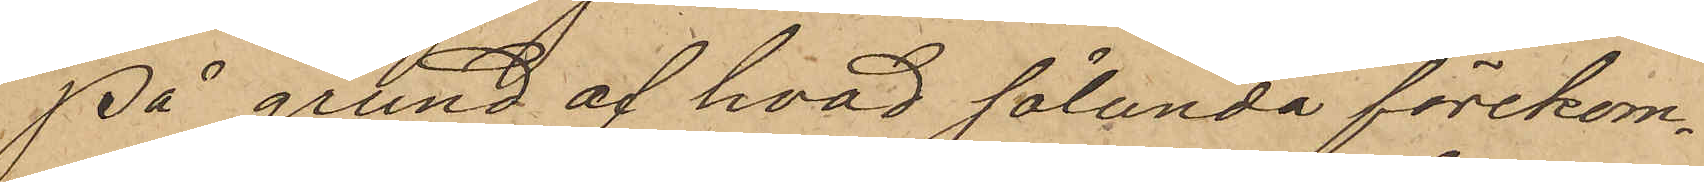På grund af hvad sålunda förekom¬
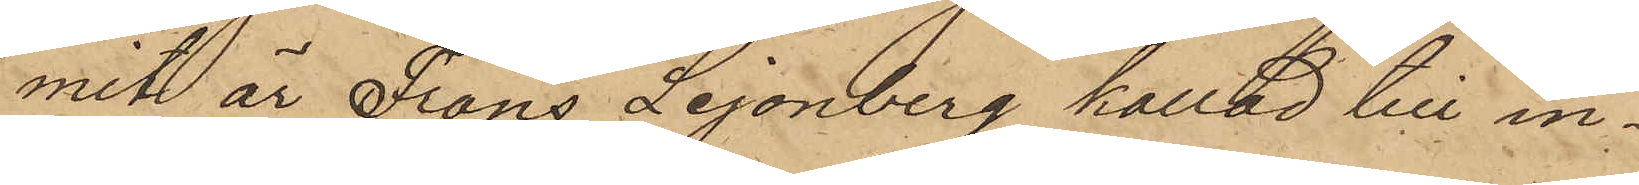mit är Frans Lejonberg kallad till in¬
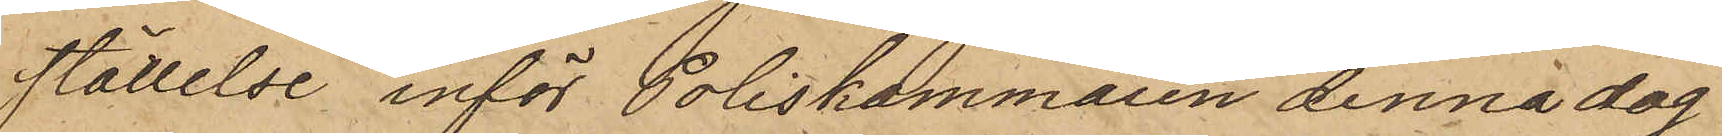ställelse inför Poliskammaren denna dag
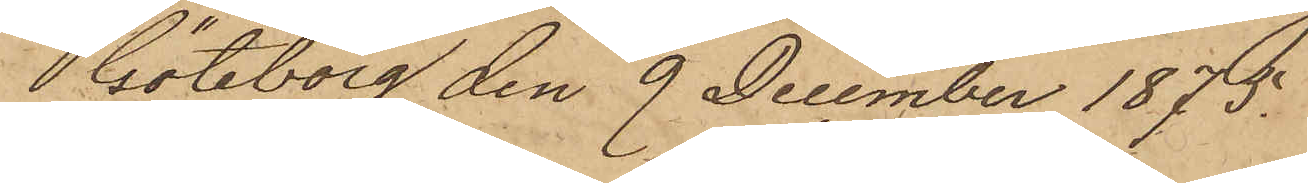Göteborg den 9 December 1875.
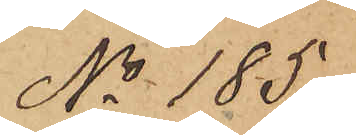No 185.
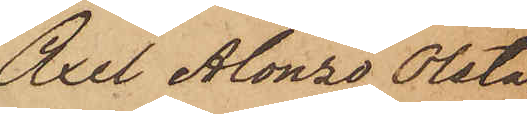Axel Alonzo Olsta
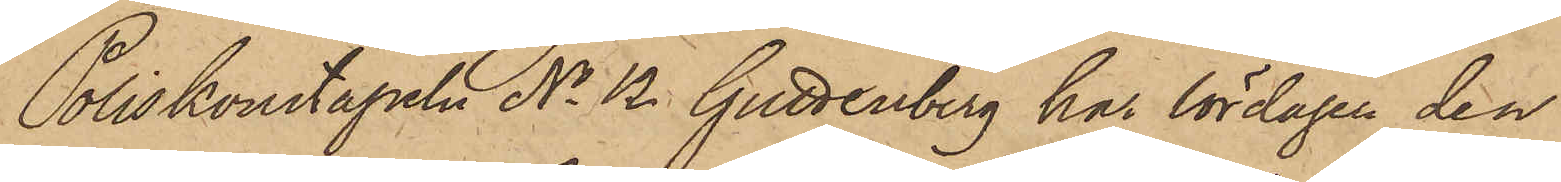Poliskonstapeln No 12 Guttenberg har lördagen den
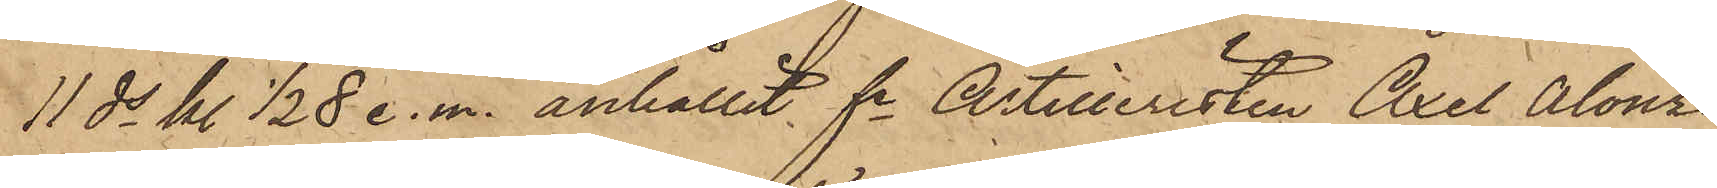11 ds kl. 1/2 8 e. m. anhållit fe Artilleristen Axel Alonso
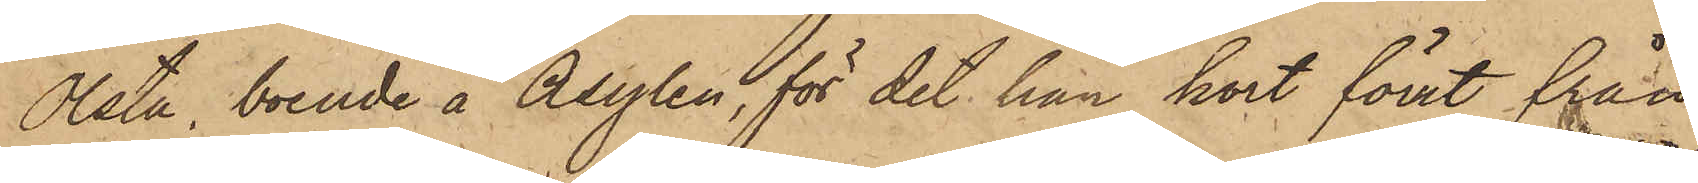Olsta, boende å Asylen, för det han kort förut från
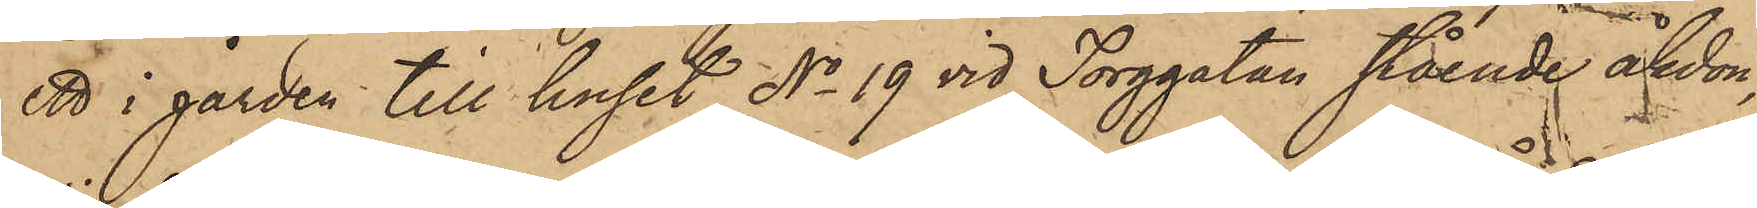ett i gården till huset No 19 vid Torggatan stående åkdon,
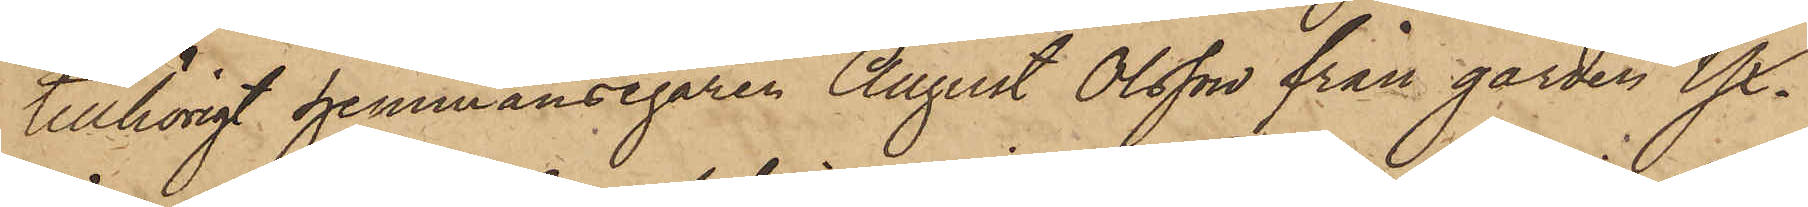tillhörigt hemmansegaren August Olsson från gården Yx¬
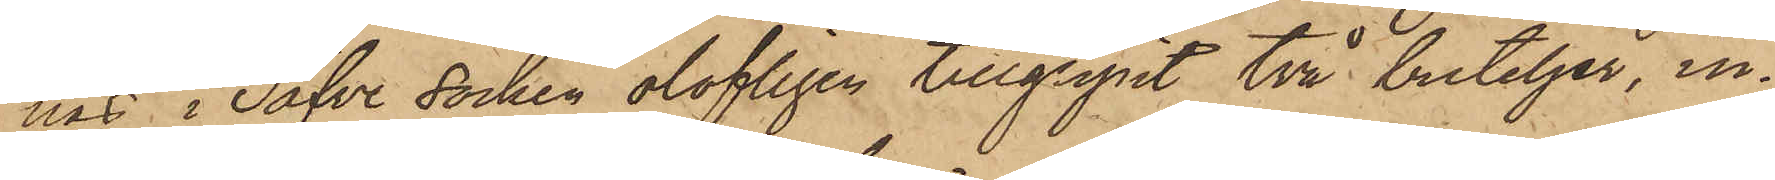näs i Säfve socken olofligen tillgripit två buteljer, in¬
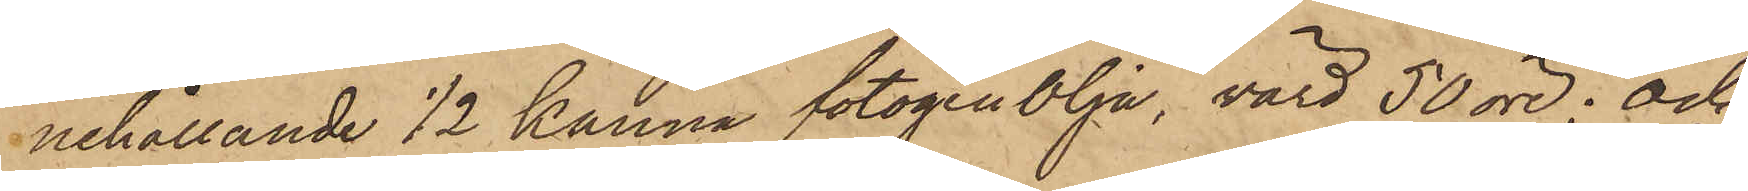nehållande 1/2 kanna fotogenOlja, värd 50 öre; och
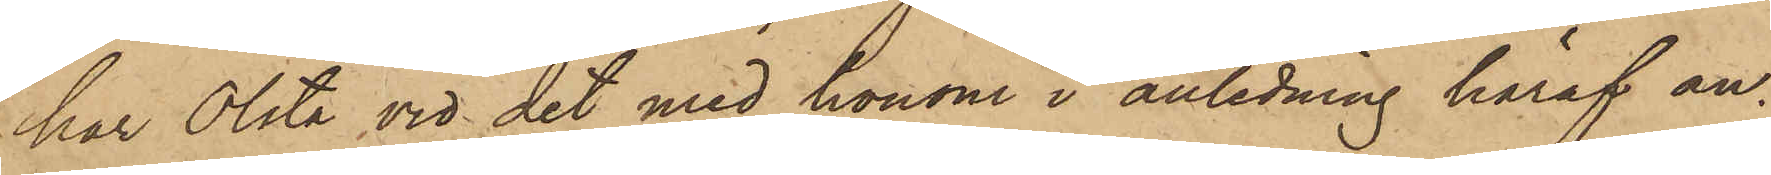har Olsta vid det med honom i anledning häraf an¬
